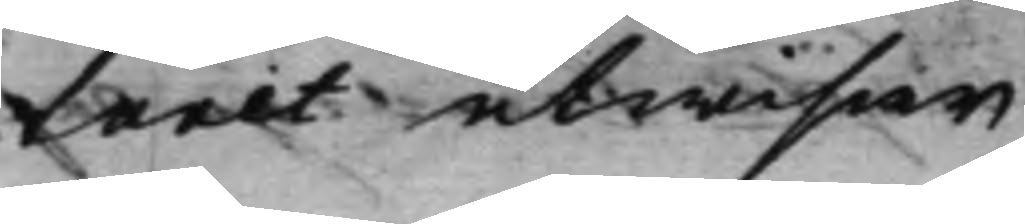turet utwisar.
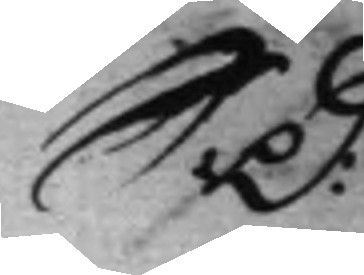S: D: 
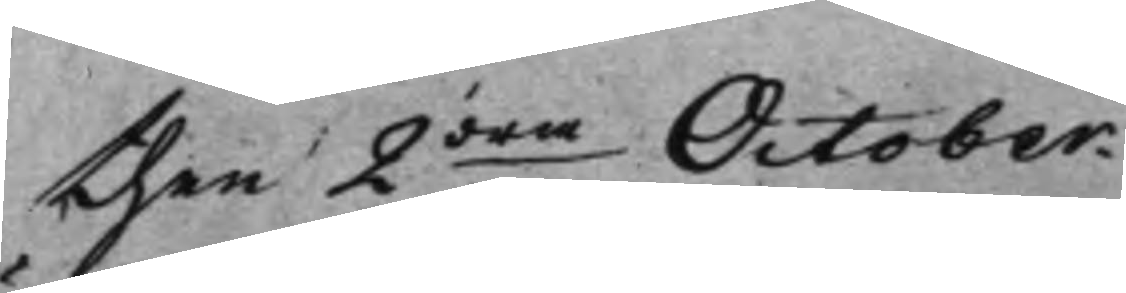then 2dre October. 
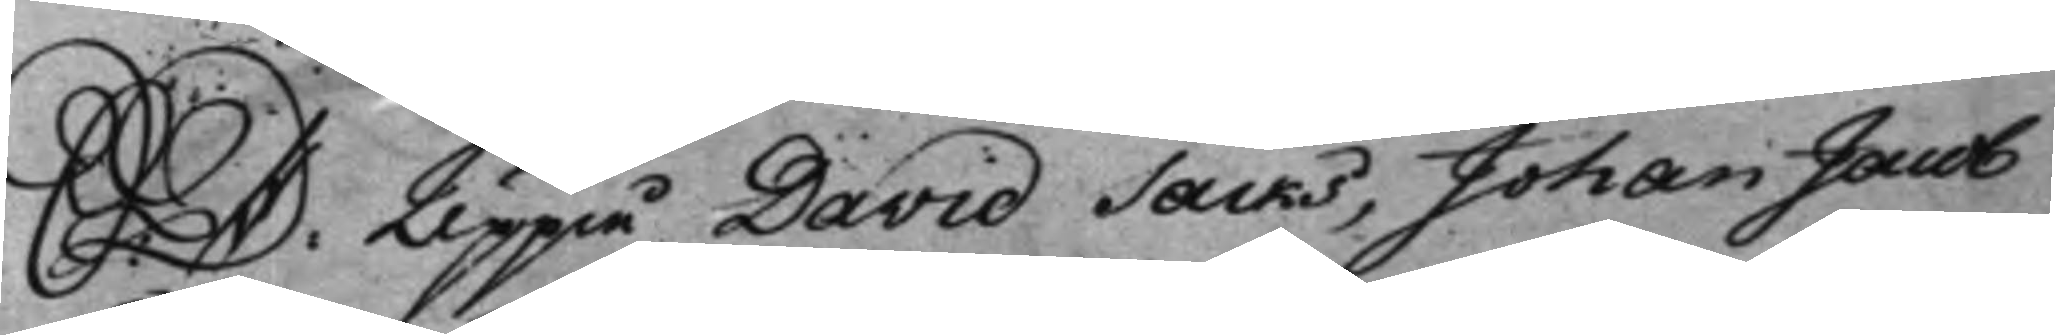S: D: Uppå David Sacks, Johan Jacob 
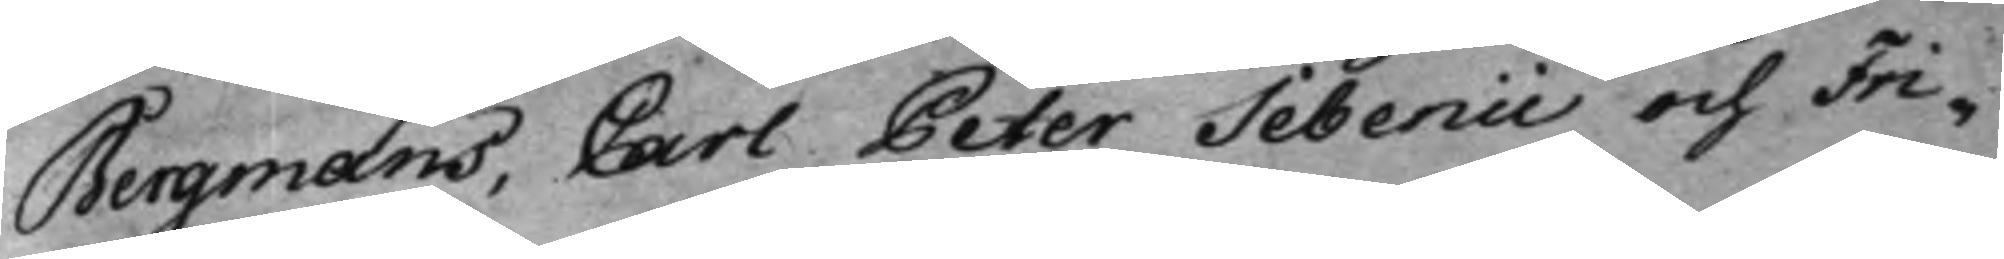Bergmans, Carl Peter Sebenii och Fri¬
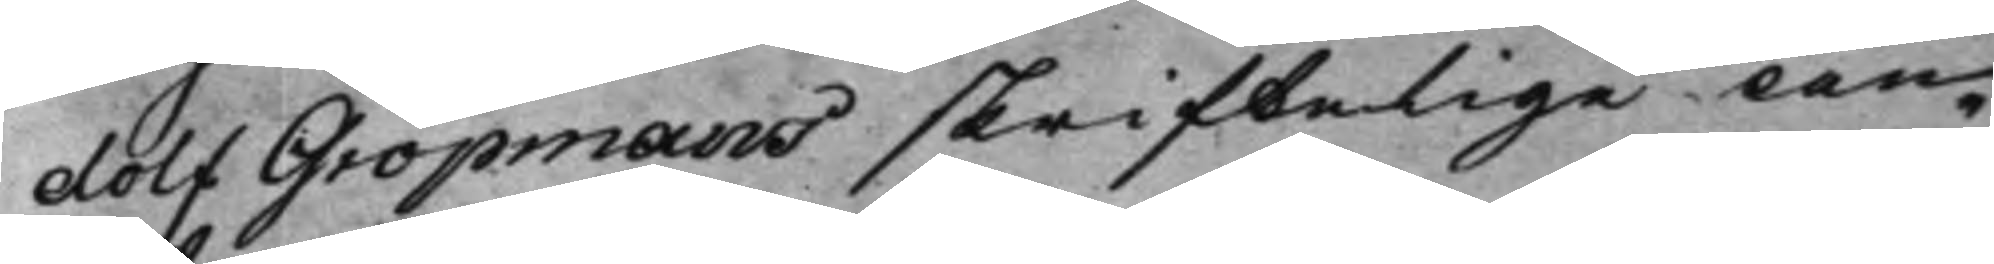dolf Gropmans skriftelige An¬
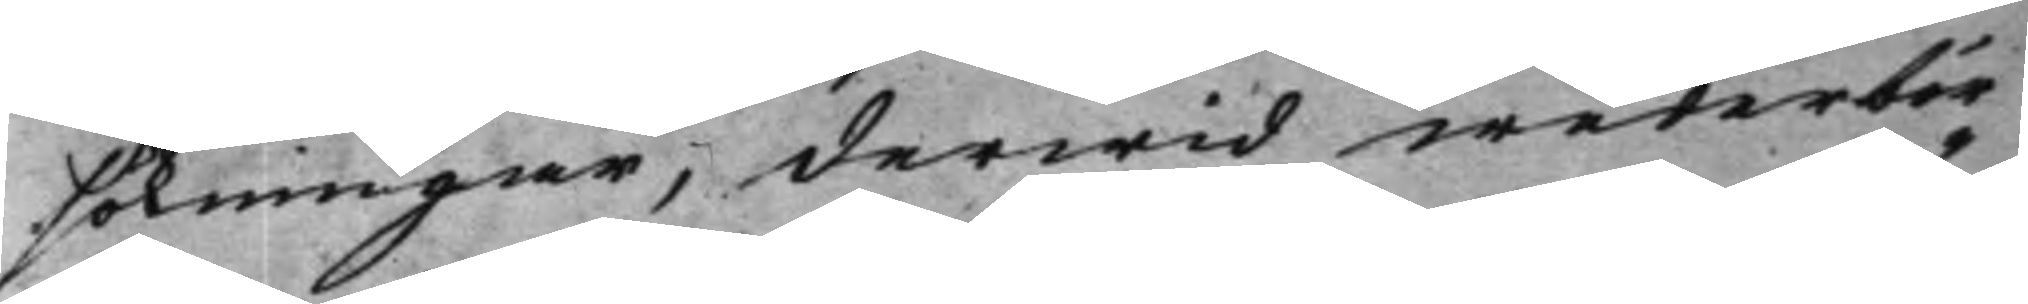sökningar, derwid wederbör¬
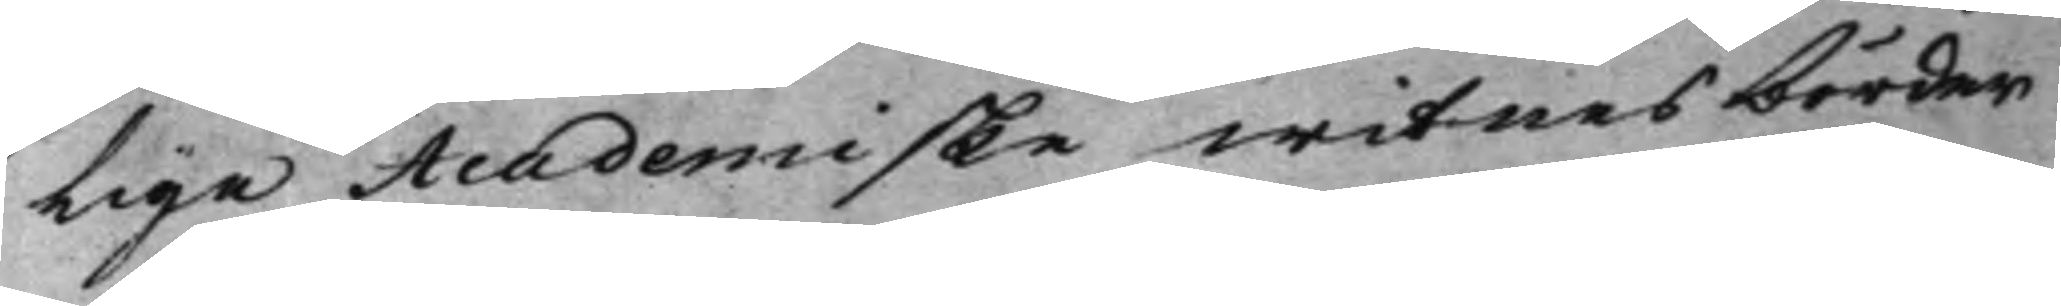Lige Academiske witnesbörder
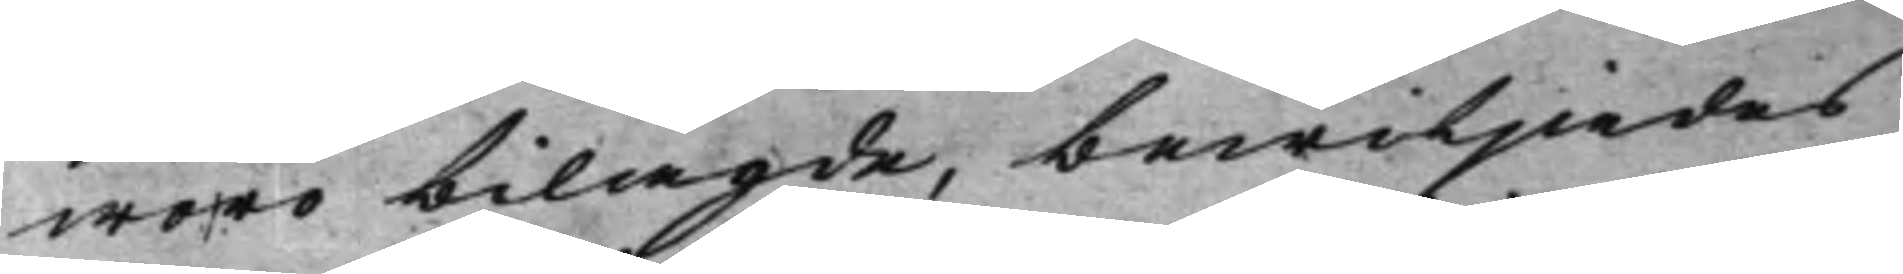woro bilagde, bewiljades
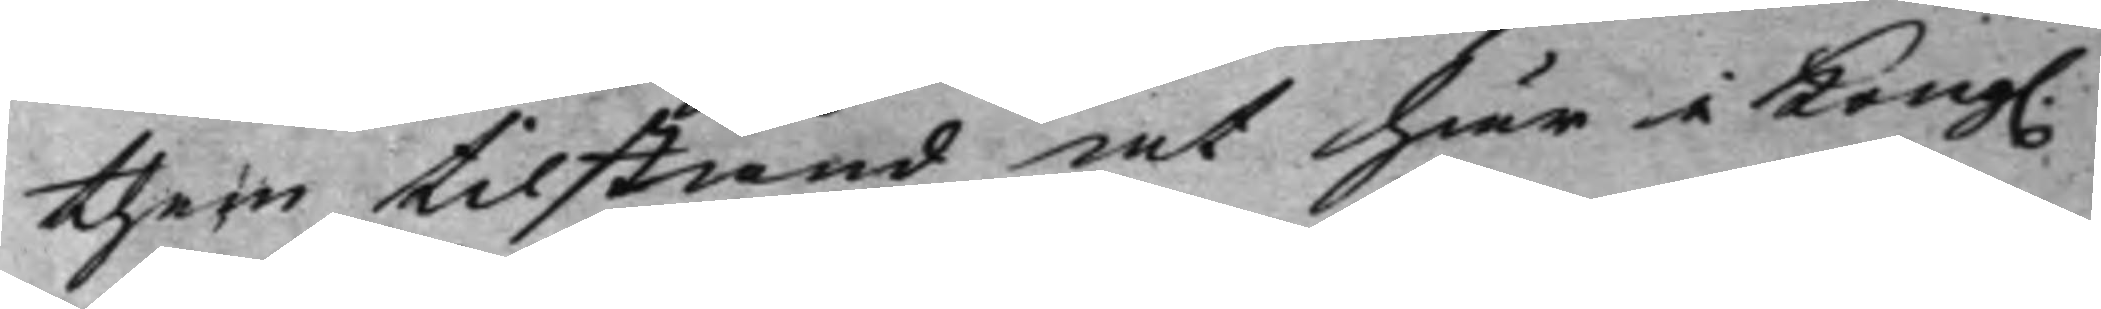them tilstånd at här i Kong. 
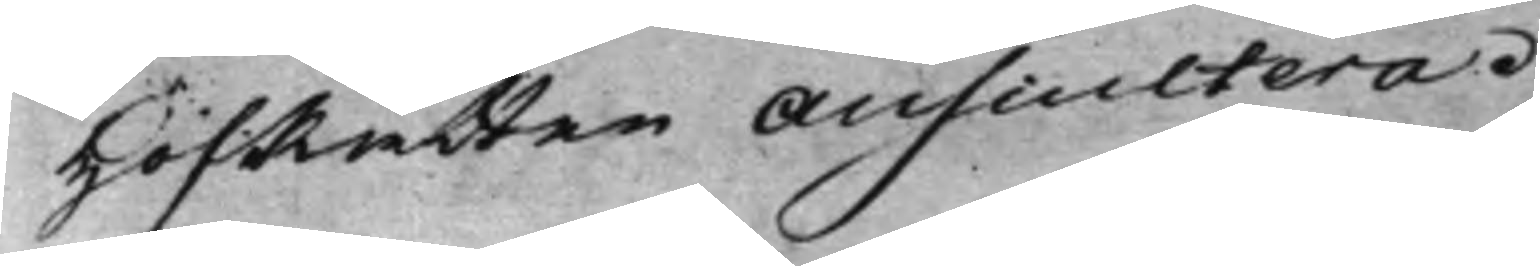HofRätten Auscultera.
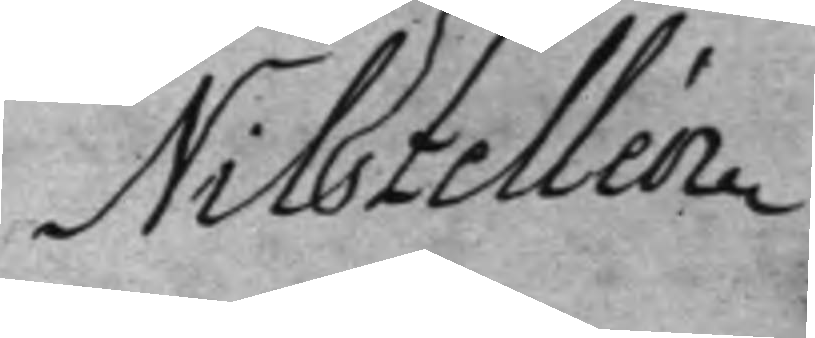Nils Zellén.
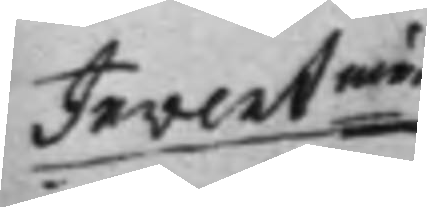Inventum
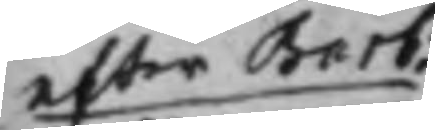efter Barb:
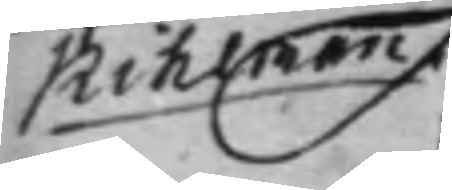Kihlman
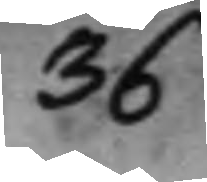36
